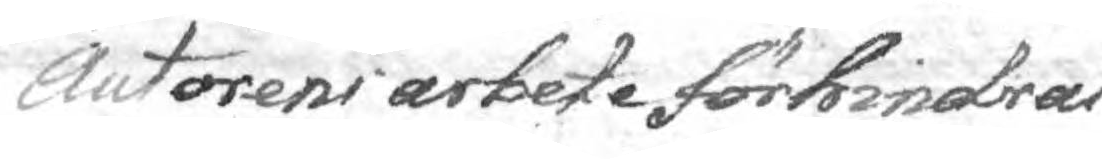Autorens arbete förhindrar
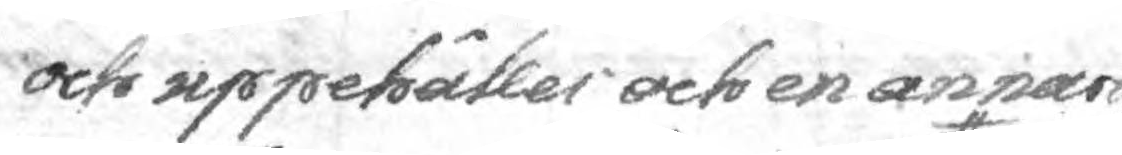och uppehåller och en annars
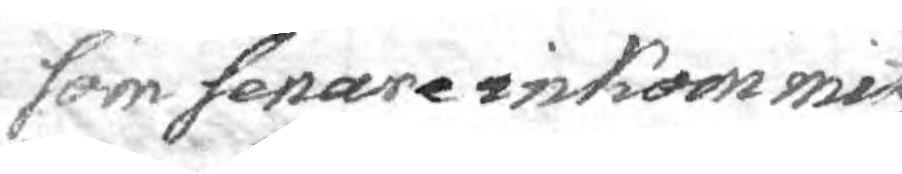som senare inkommit, 
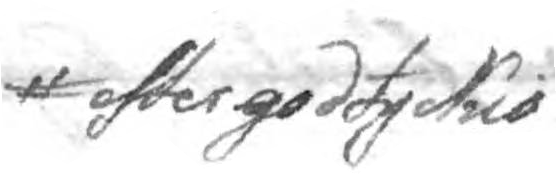efter godtyckio
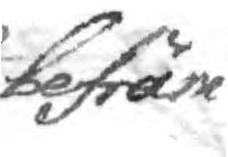befräm¬
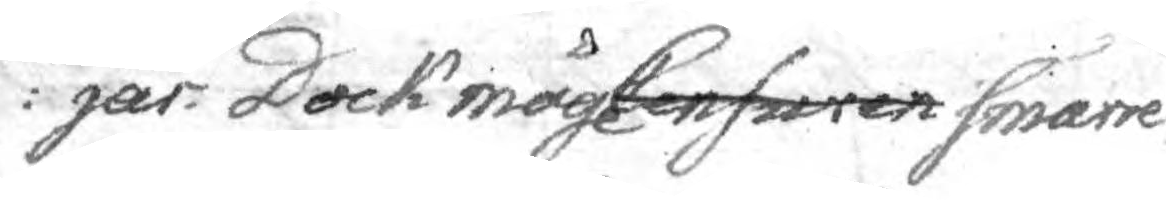jar: Dock måge Censuren smärre
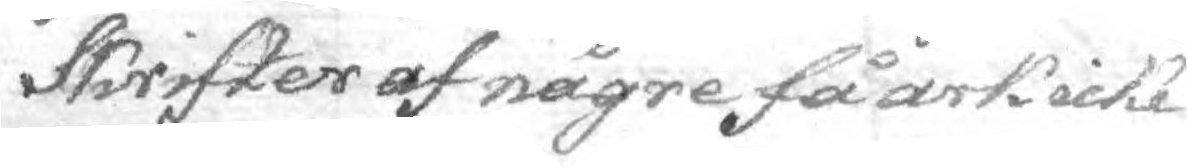Skrifter af någre få ock icke
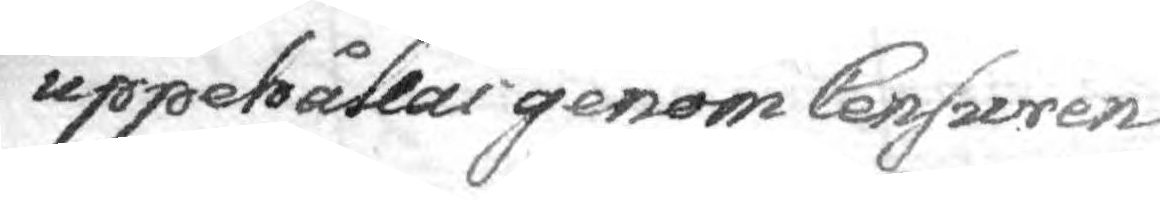uppehållas genom Censuren
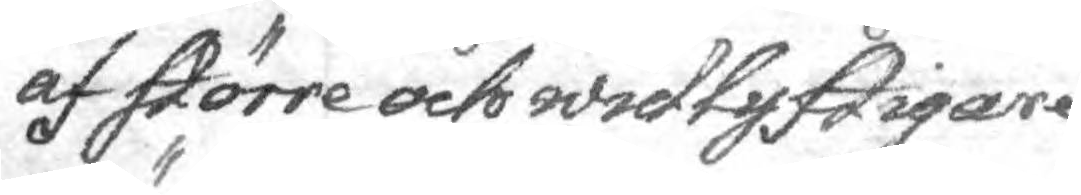af större och widlyftigare 
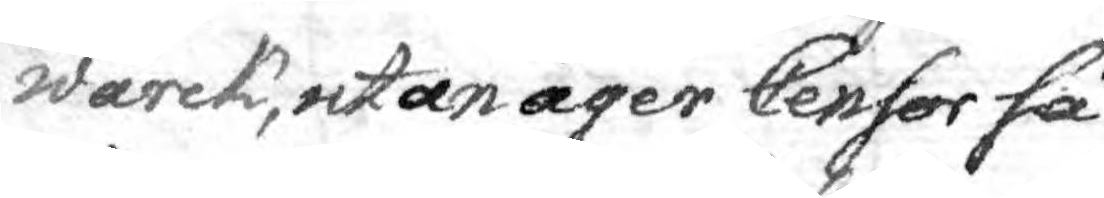wärck, utan äger Censor så¬
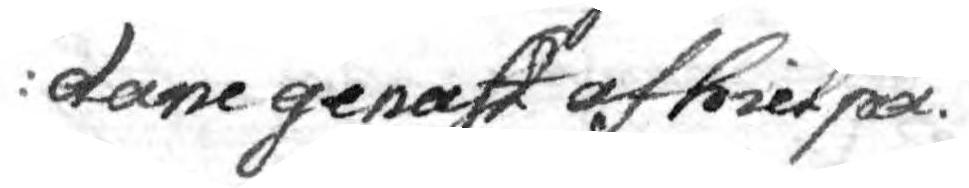dane genast afhielpa.
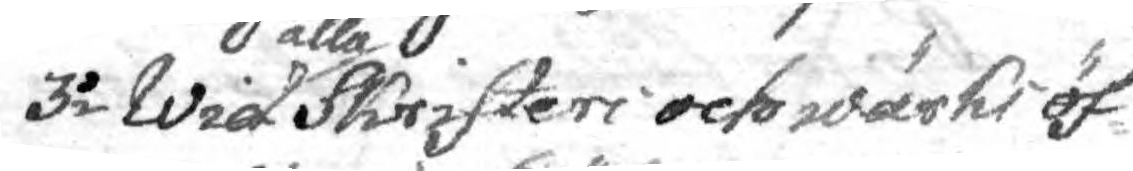3o Wid alla Skrifter och wärck öf¬
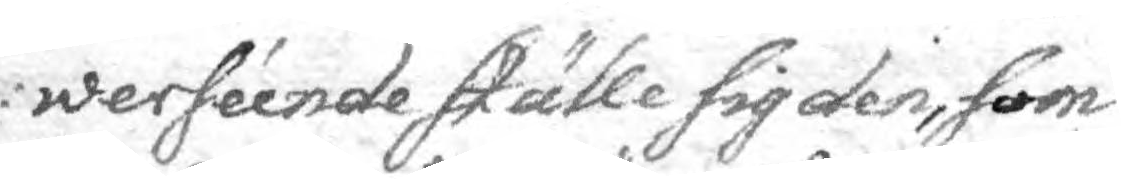werséende ställe sig den, som
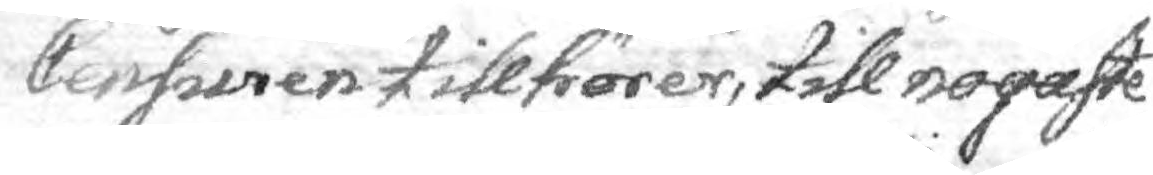Censuren  tillhörer, till nogaste
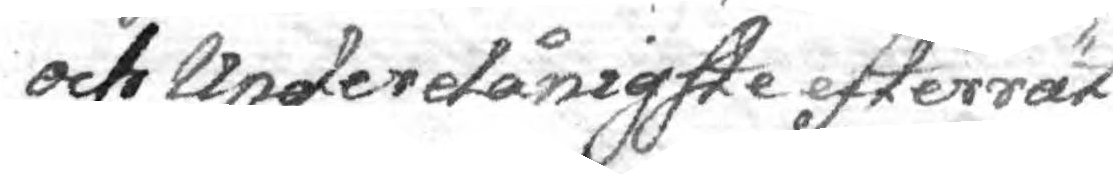och underdånigste efterrät¬
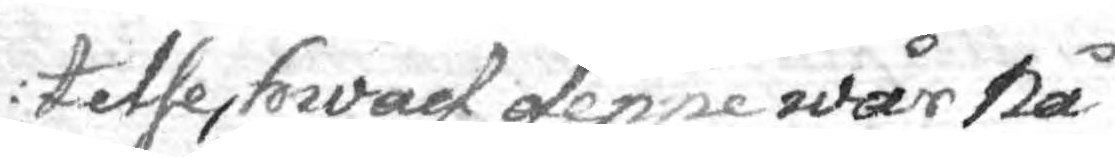telse, hwad denne wår Nå¬
